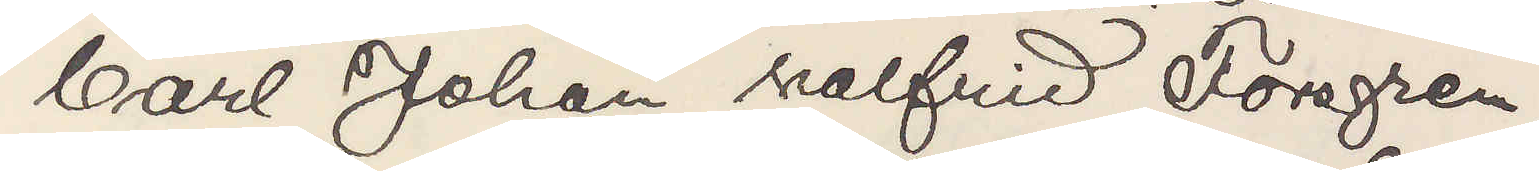Carl Johan Walfrid Forsgren,
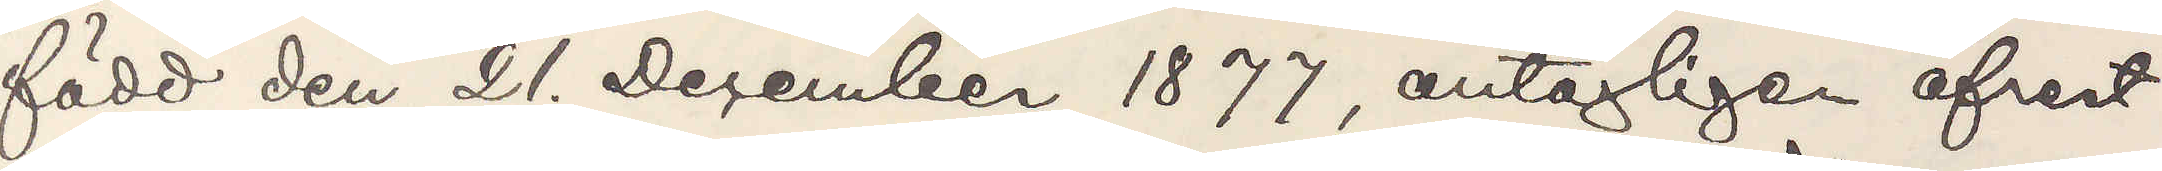född den 21. December 1877, antagligen afrest
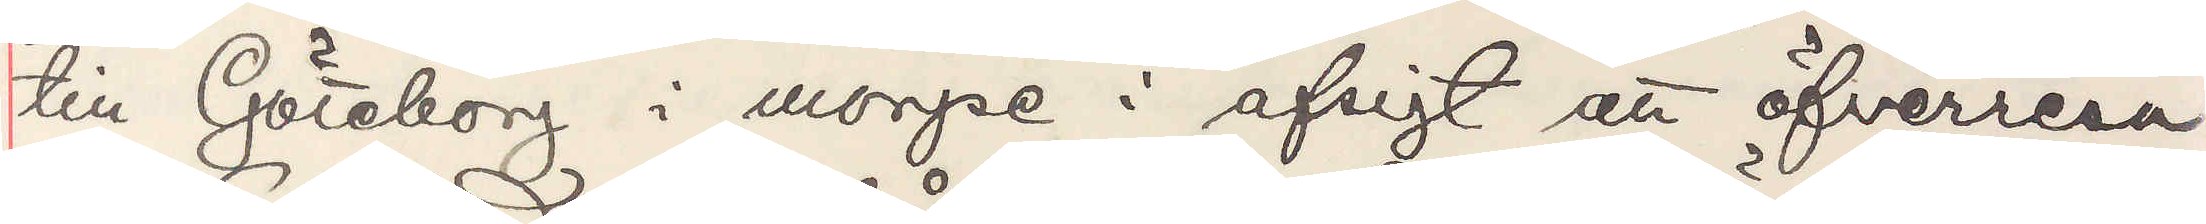till Göteborg i morgse i afsigt att öfverresa
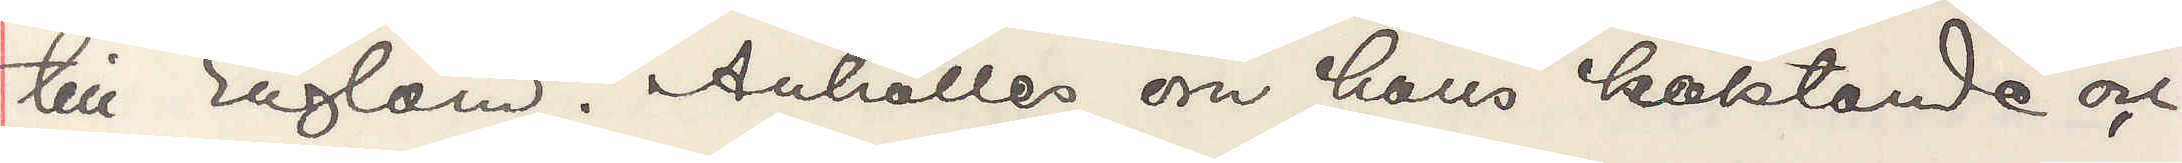till England. Anhålles om hans häktande och
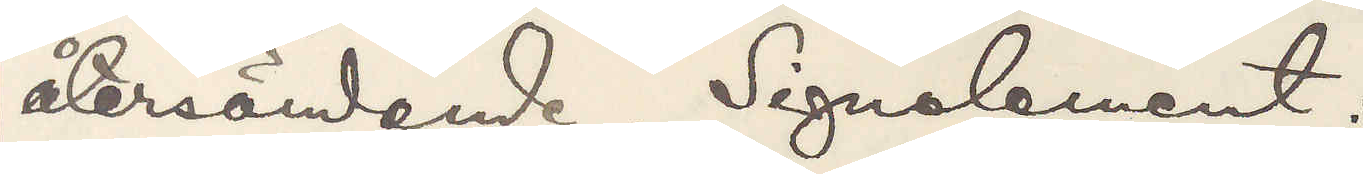återsändande. Signalement:
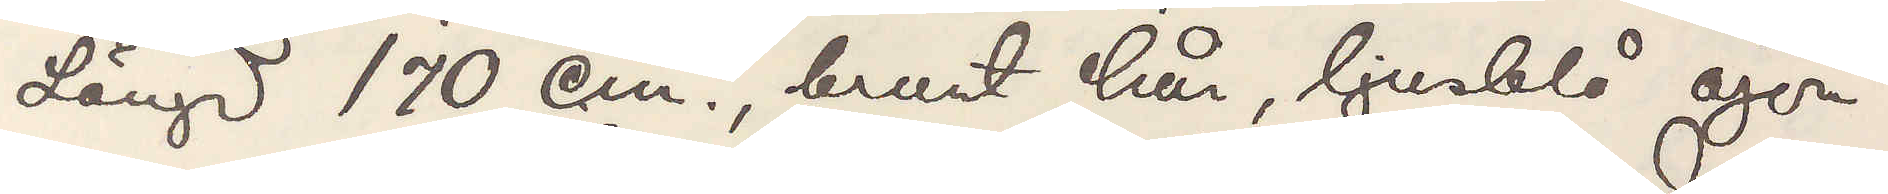Längd 170 cm, brunt hår, ljusblå ögon,
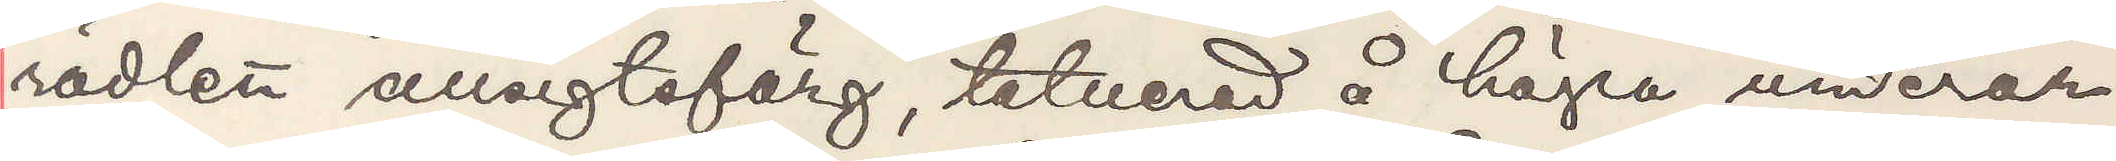rödlett ansigtsfärg, tatuerad å högra underar¬
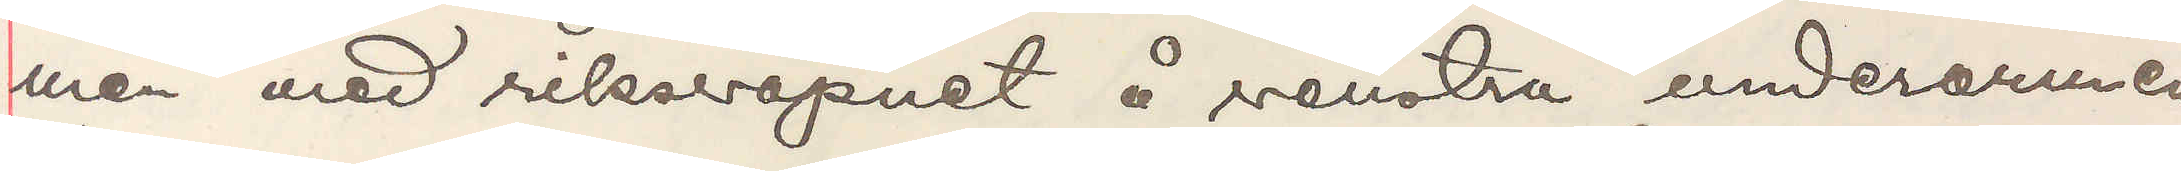men med riksvapnet å venstra underarmen
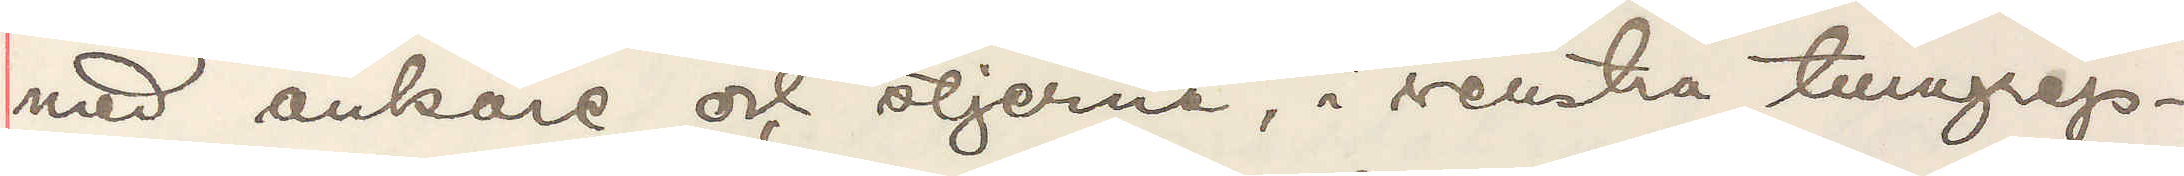med ankare och stjerna, i venstra tumgrep¬
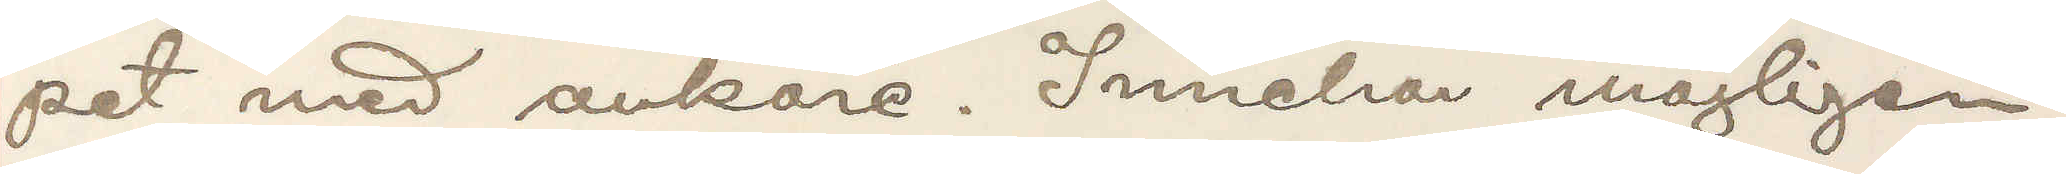pet med ankare. Innehar möjligen
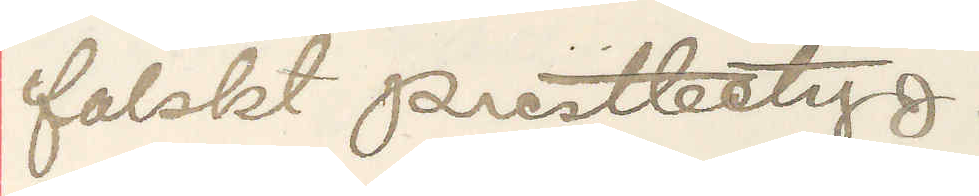falskt prestbetyg.
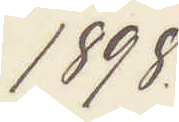1898.
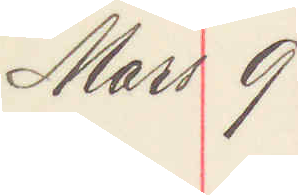Mars 9
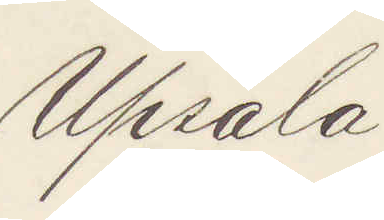Upsala
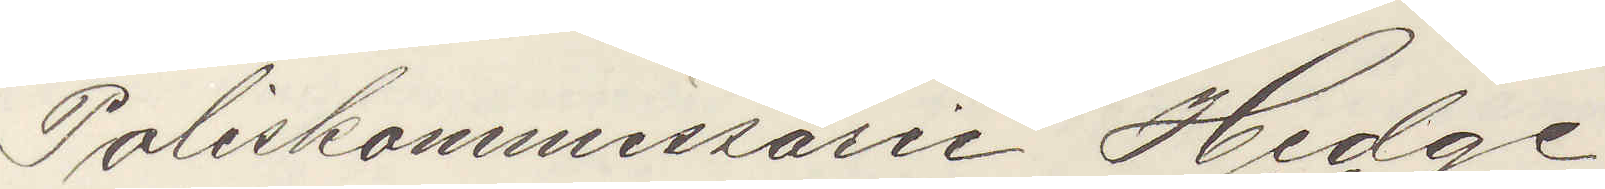Poliskommissarie Hedge
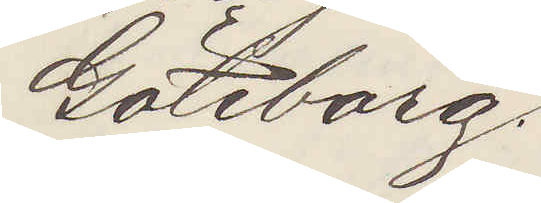Göteborg.
